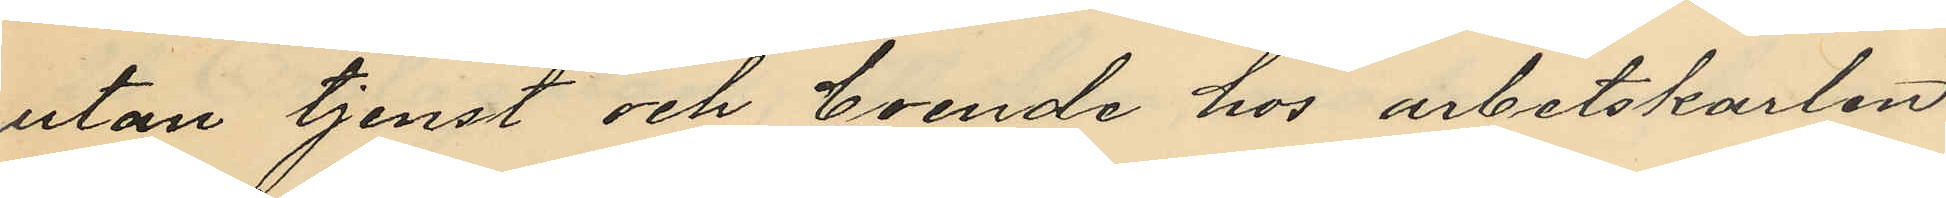utan tjenst och boende hos arbetskarlen
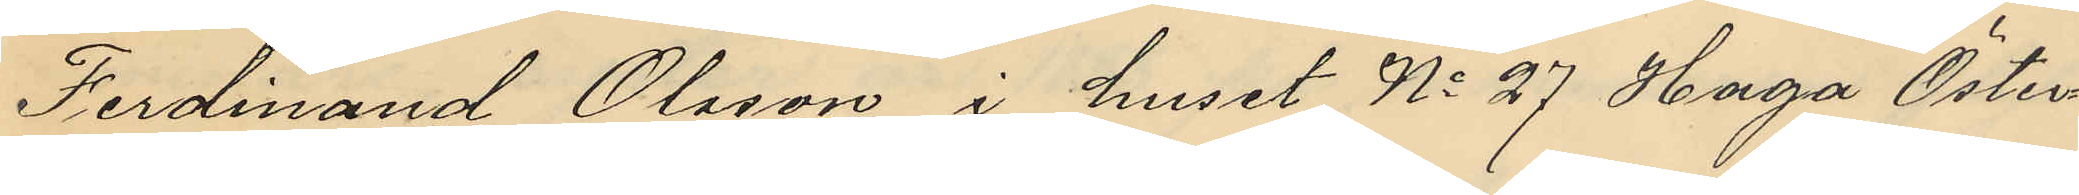Ferdinand Olsson i huset No 27 Haga Öster¬
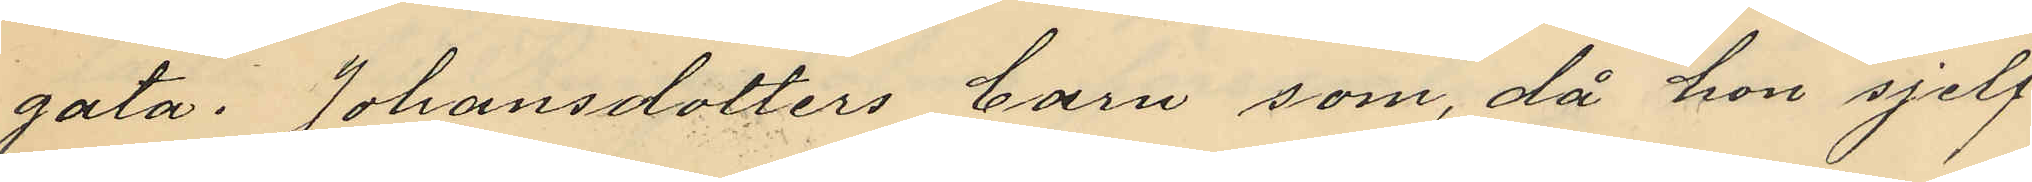gata. Johansdotters barn som, då hon sjelf
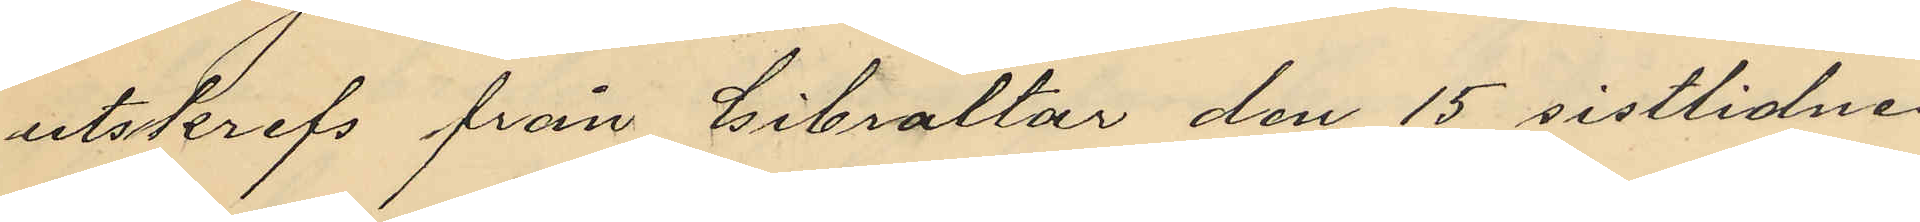utskrefs från Gibraltar den 15 sistlidne
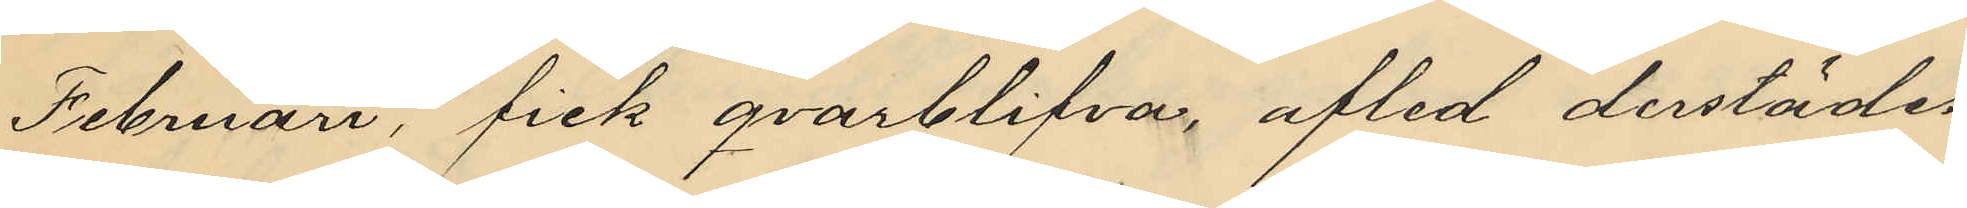Februari, fick qvarblifva, afled derstädes
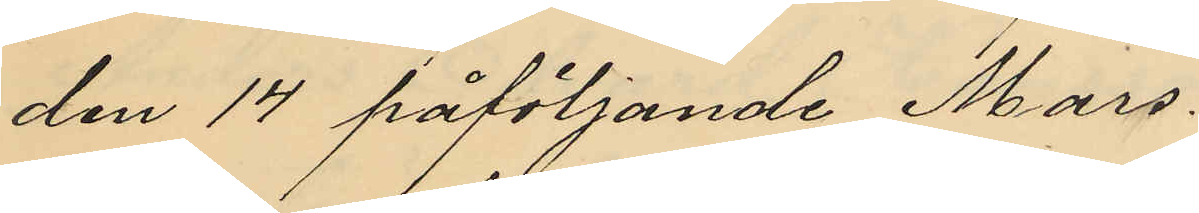den 14 påföljande Mars.
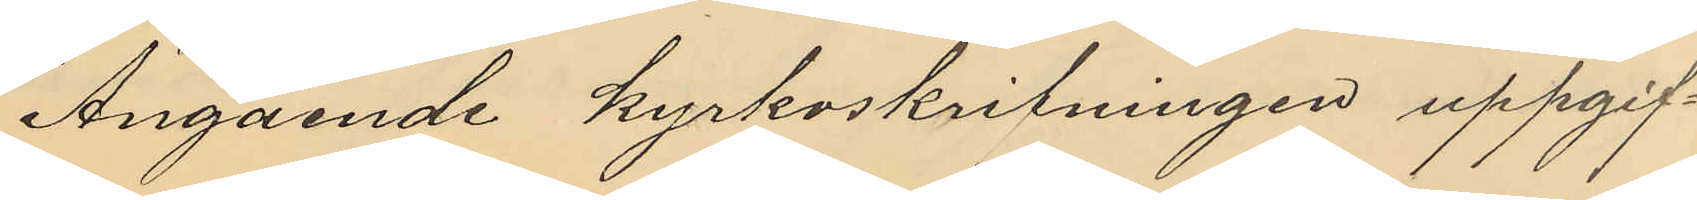Angående kyrkoskrifningen uppgif¬
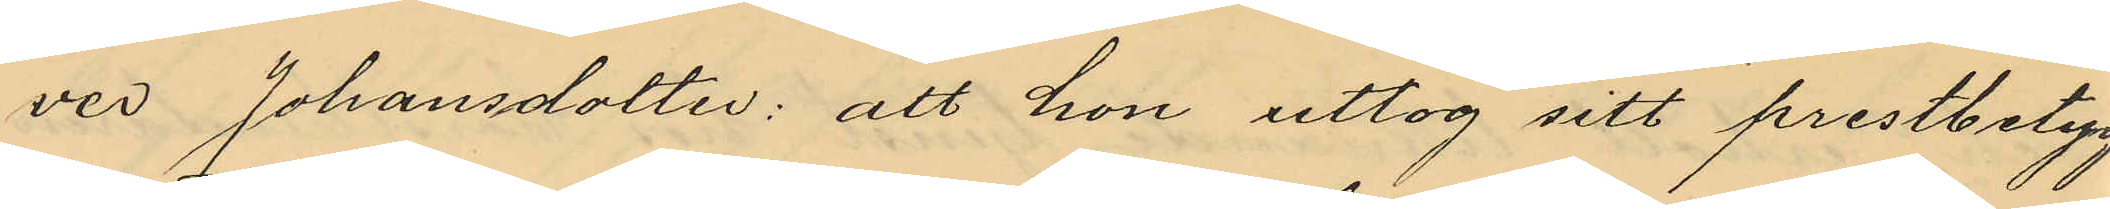ver Johansdotter: att hon uttog sitt prestbetyg
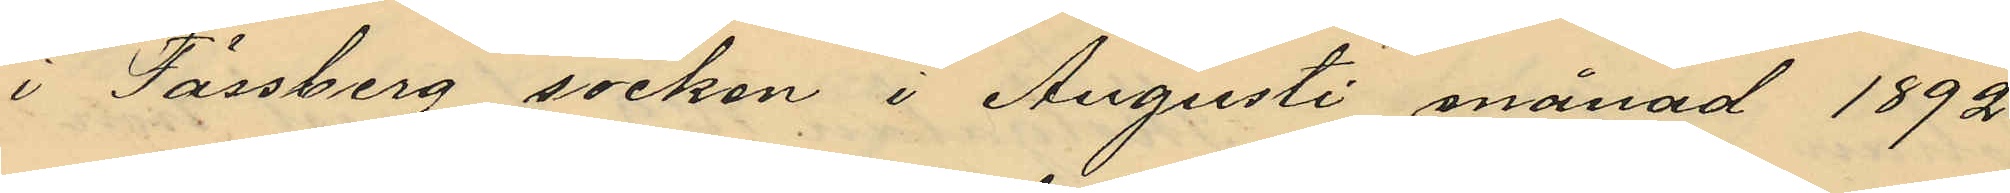i Fässberg socken i Augusti månad 1892
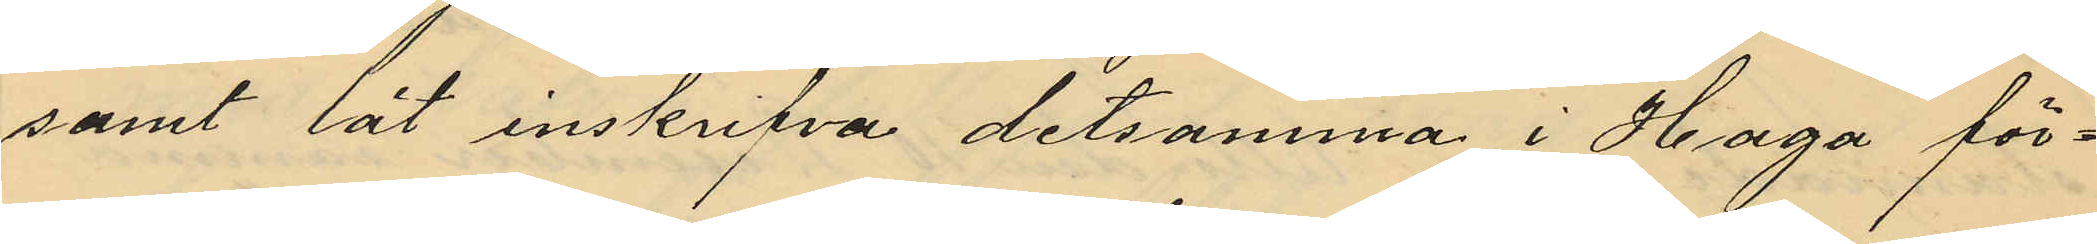samt lät inskrifva detsamma i Haga för¬
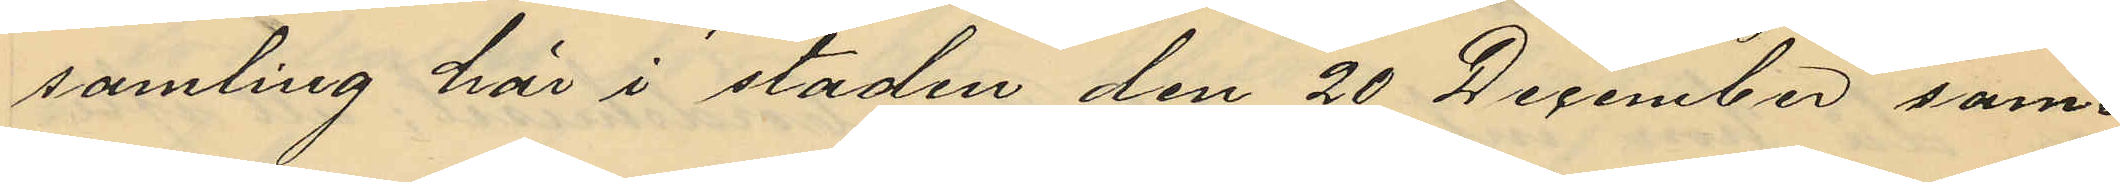samling här i staden den 20 December sam¬
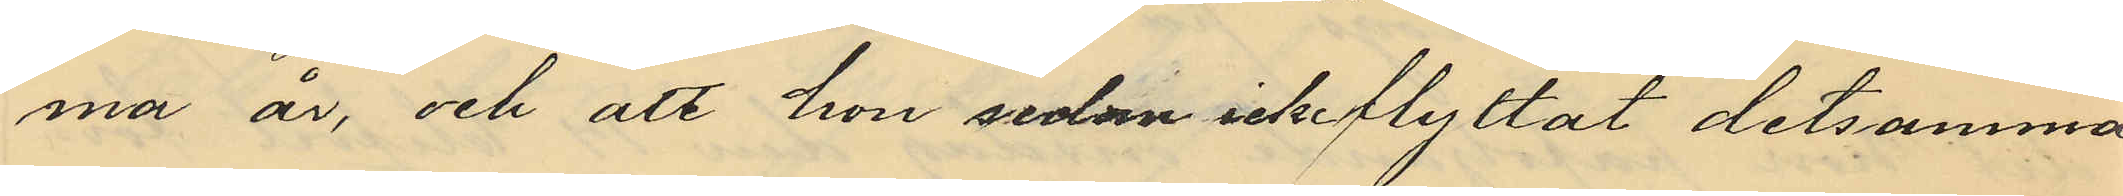ma år, och att han sedan icke flyttat detsamma
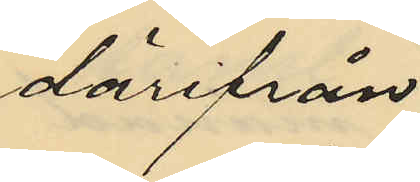därifrån.
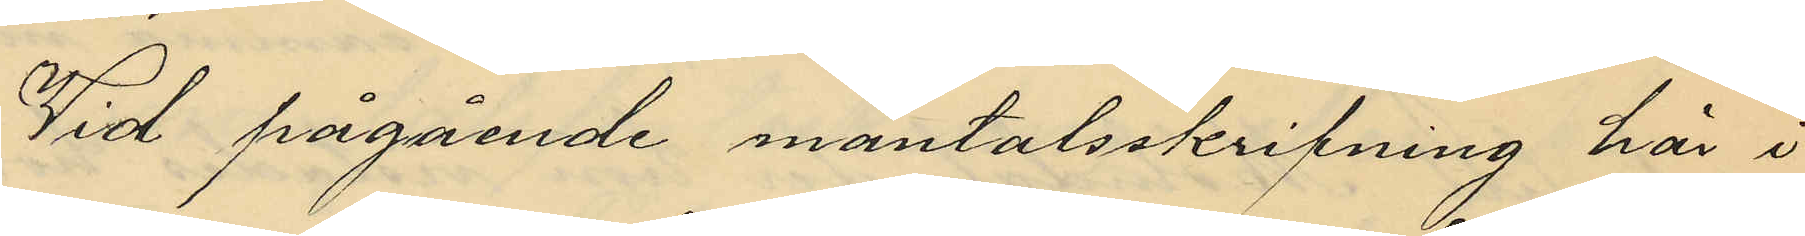Vid pågående mantalsskrifning här i
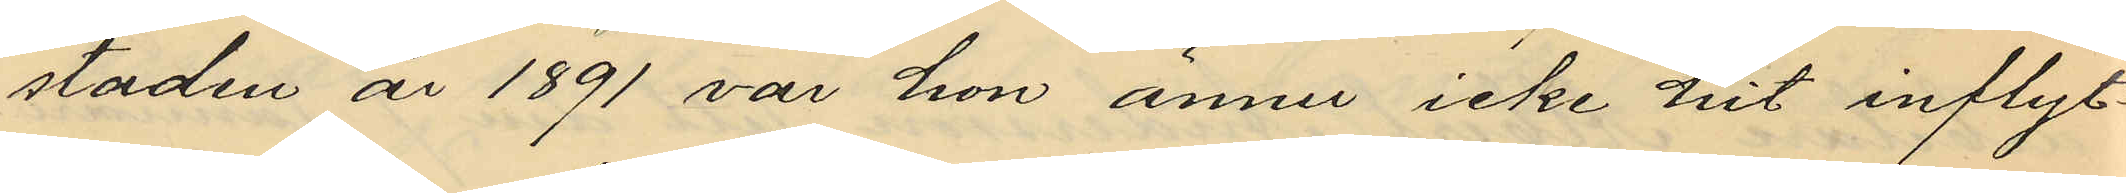staden år 1891 var hon ännu icke hit inflyt¬
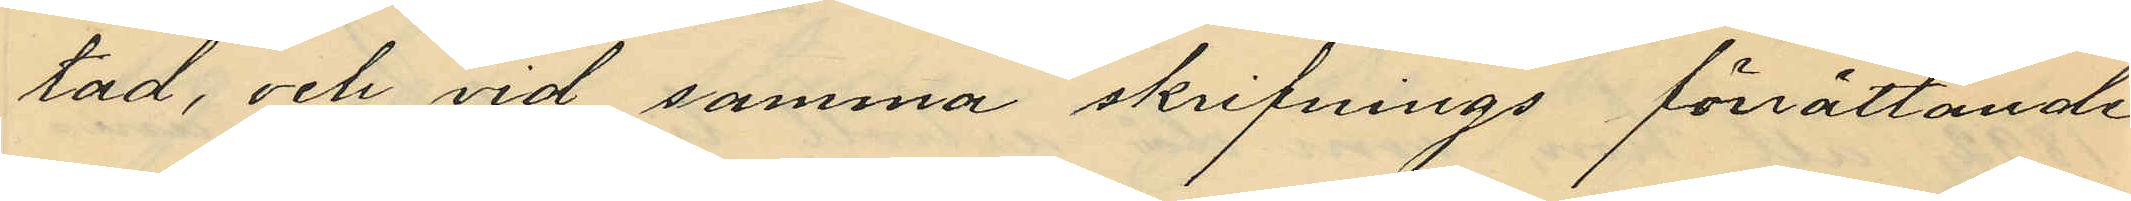tad, och vid samma skrifnings förättande
